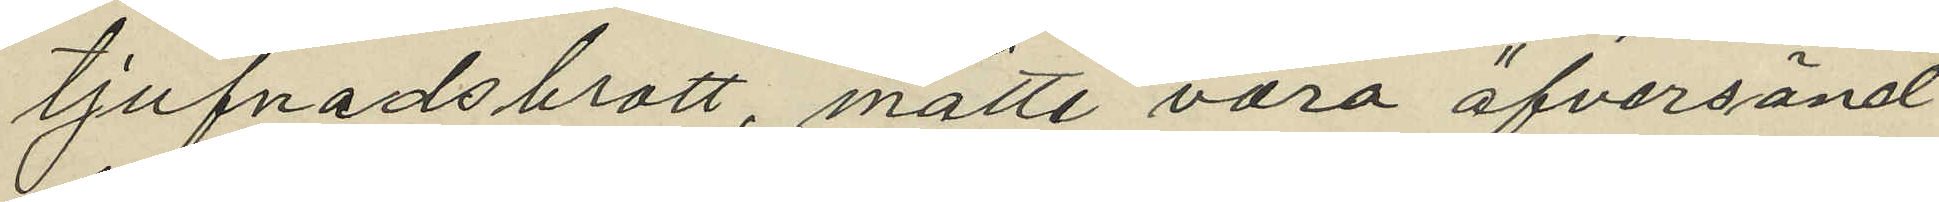tjufnadsbrott, måtte vara öfversänd
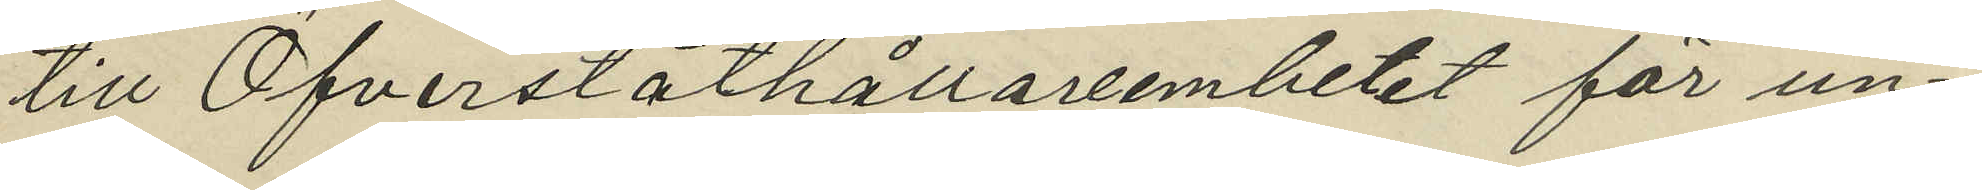till Öfverståthållareembetet för un¬
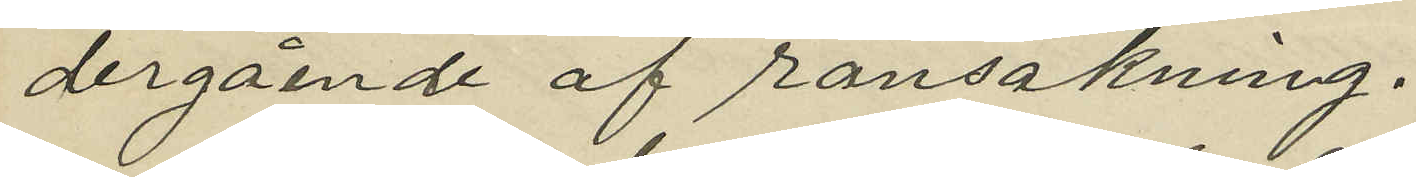dergående af ransakning.
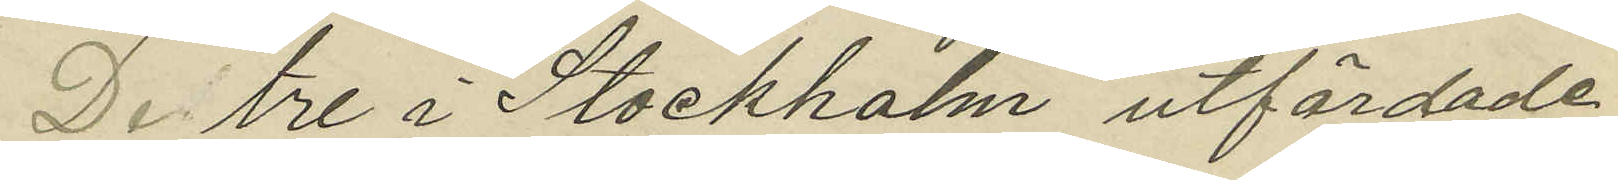De tre i Stockholm utfärdade
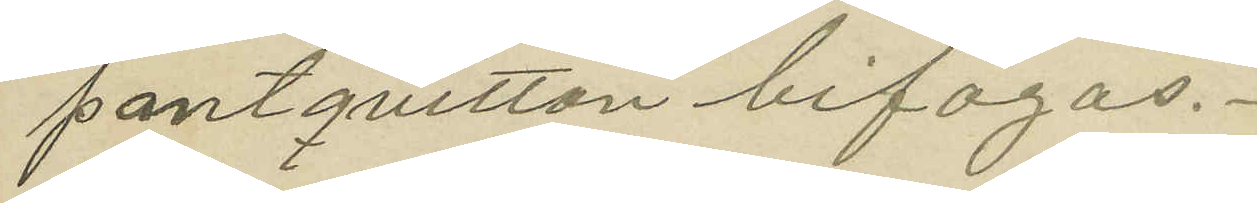pantquitton bifogas.
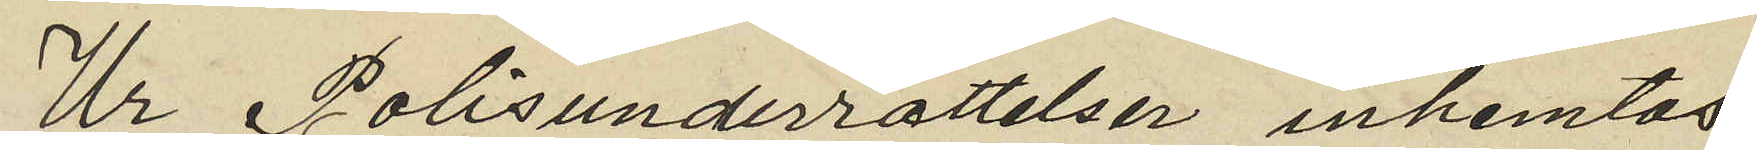Ur Polisunderrättelser inhemtas
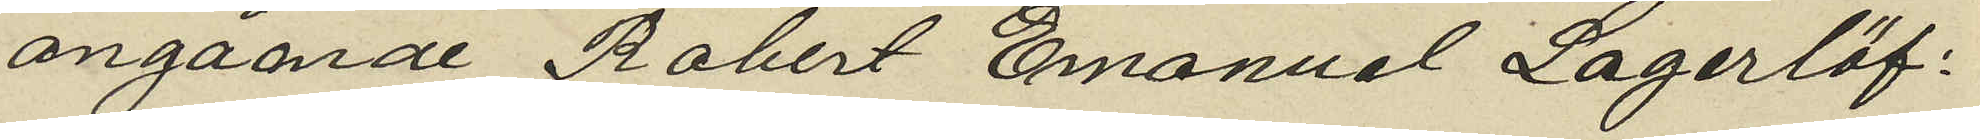angående Robert Emanuel Lagerlöf.
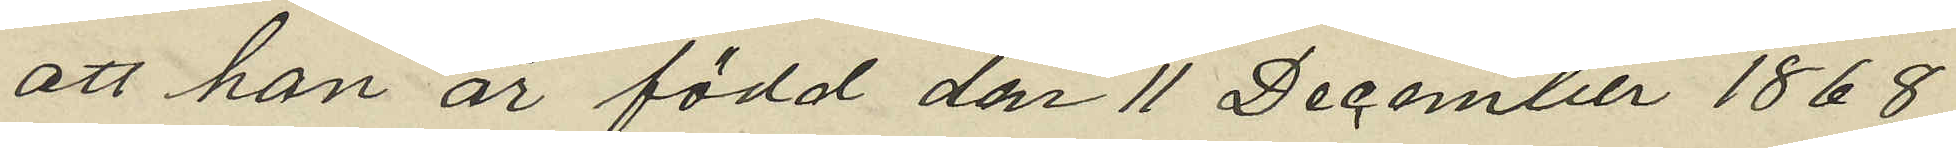att han är född den 11 December 1868
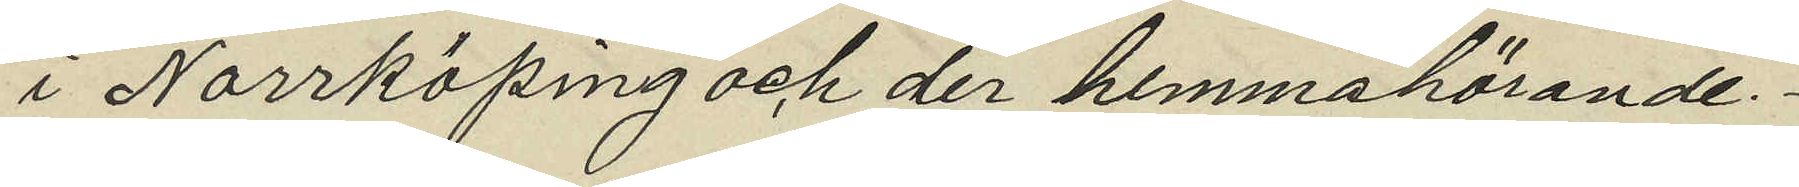i Norrköping och der hemmahörande.
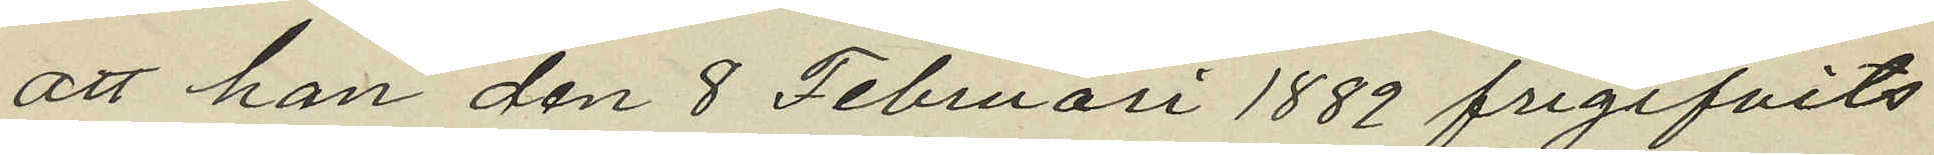att han den 8 Februari 1889 frigifvits
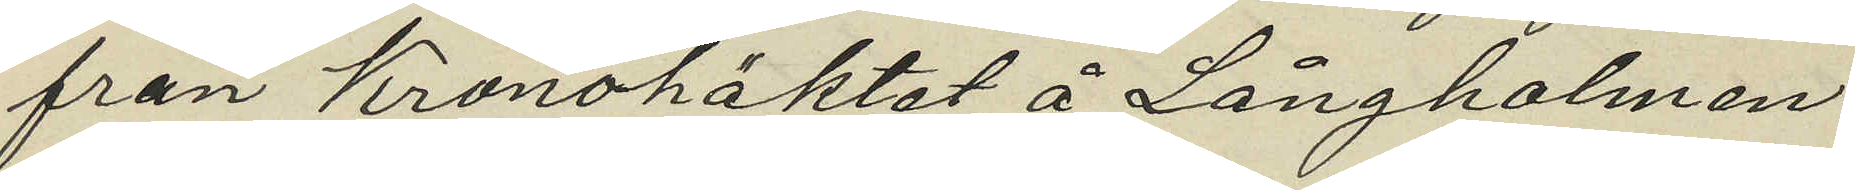från Kronohäktet å Långholmen
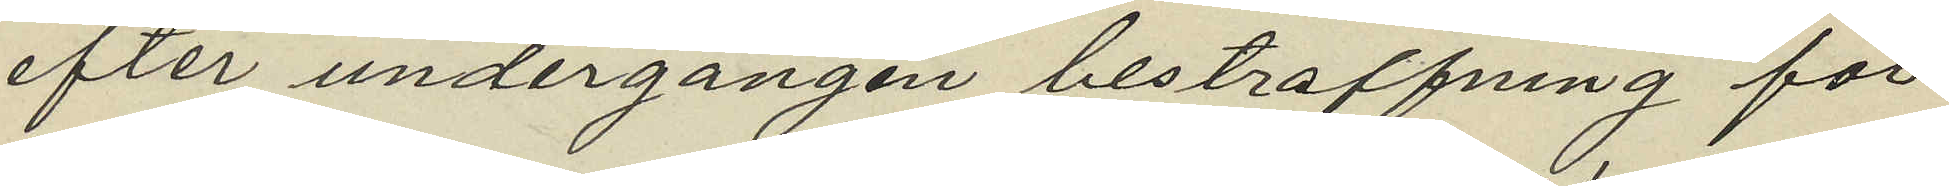efter undergången bestraffning för
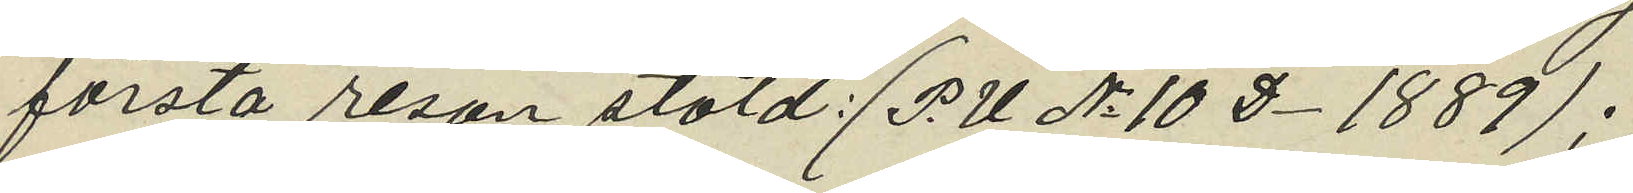första resan stöld: (P.U. No 10 D. 1889);
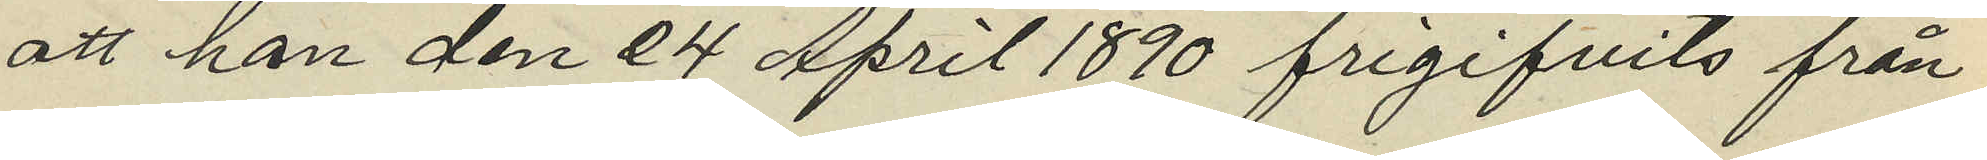att han den 24 April 1890 frigifvits från
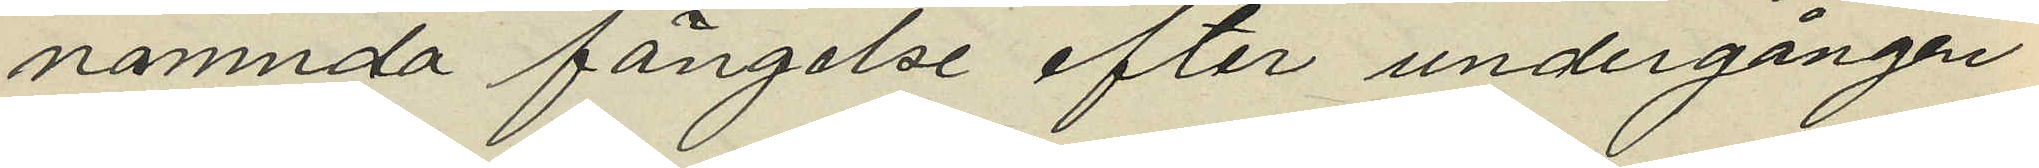nämnda fängelse efter undergången
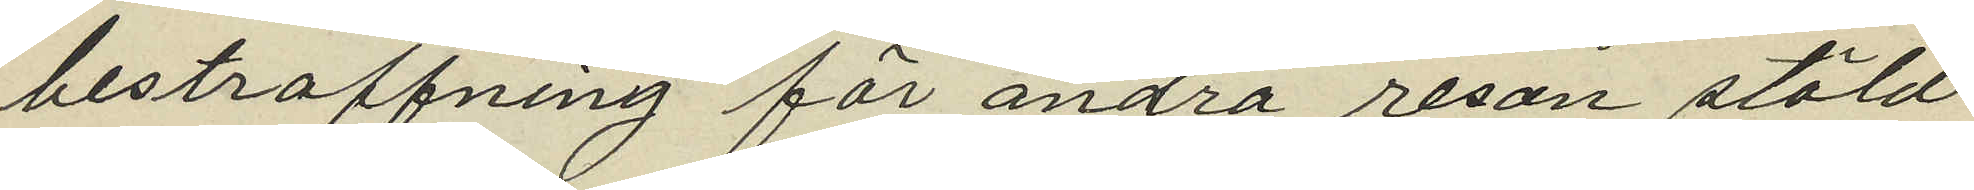bestraffning för andra resan stöld
